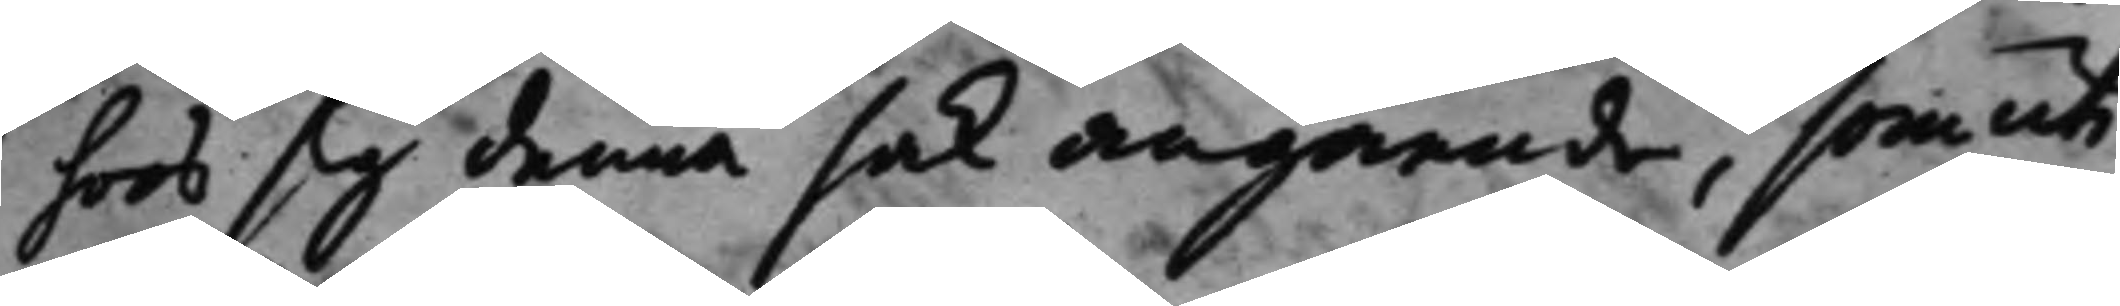hoos sig denna sak angående, som uti
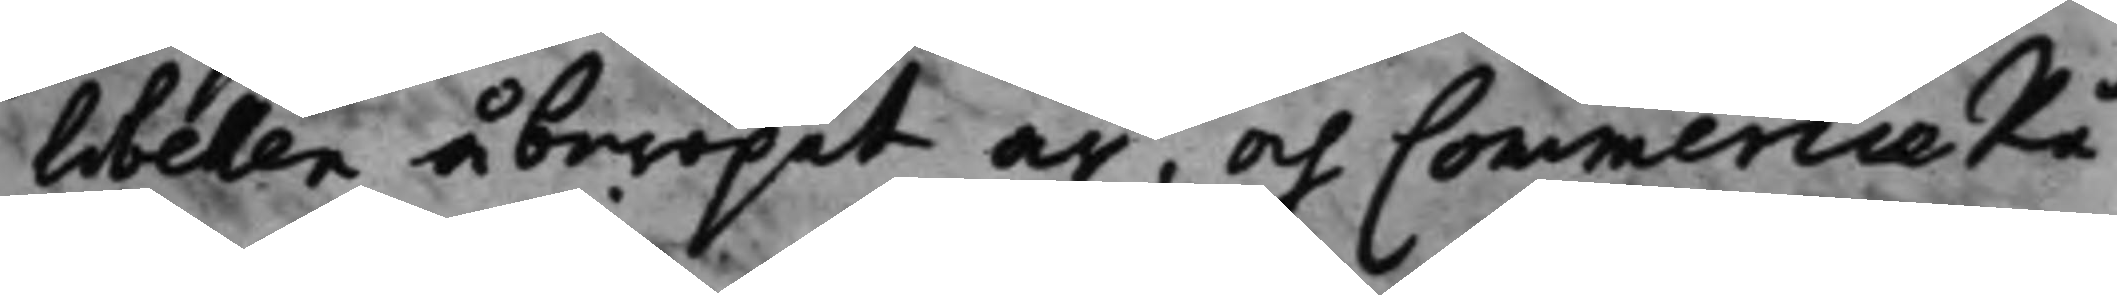libellen åberopat är, och CommercieRå¬
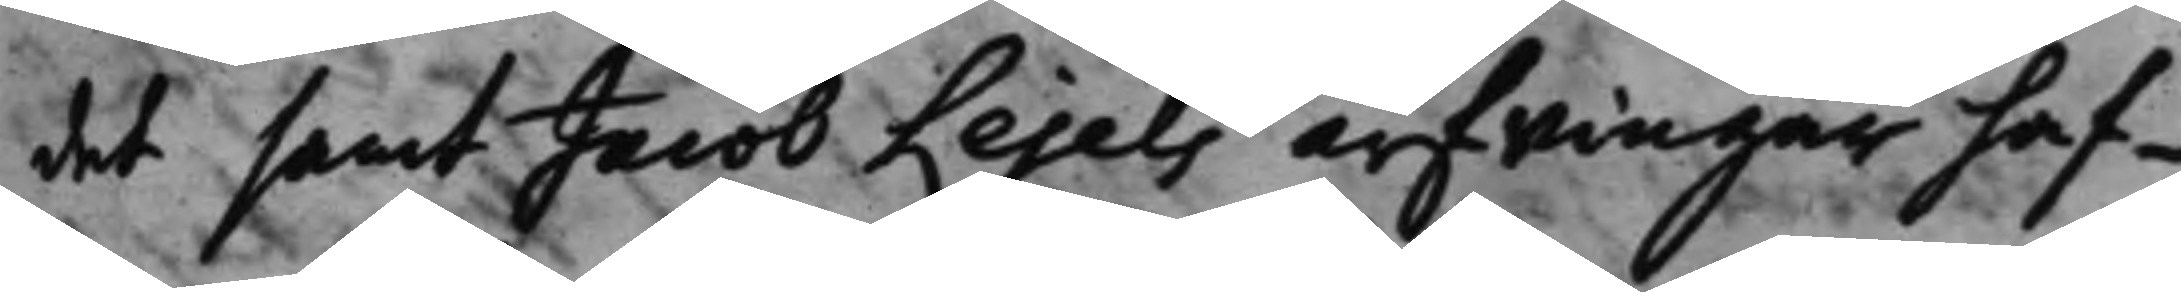det samt Jacob Lejels arfwingar haf¬
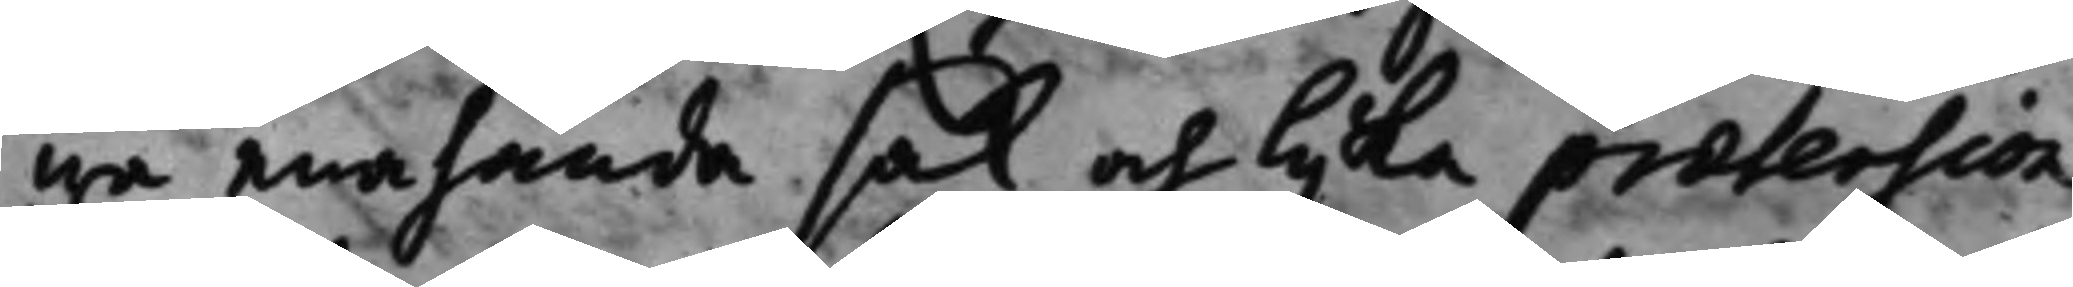wa enahanda sak och lijka prætension
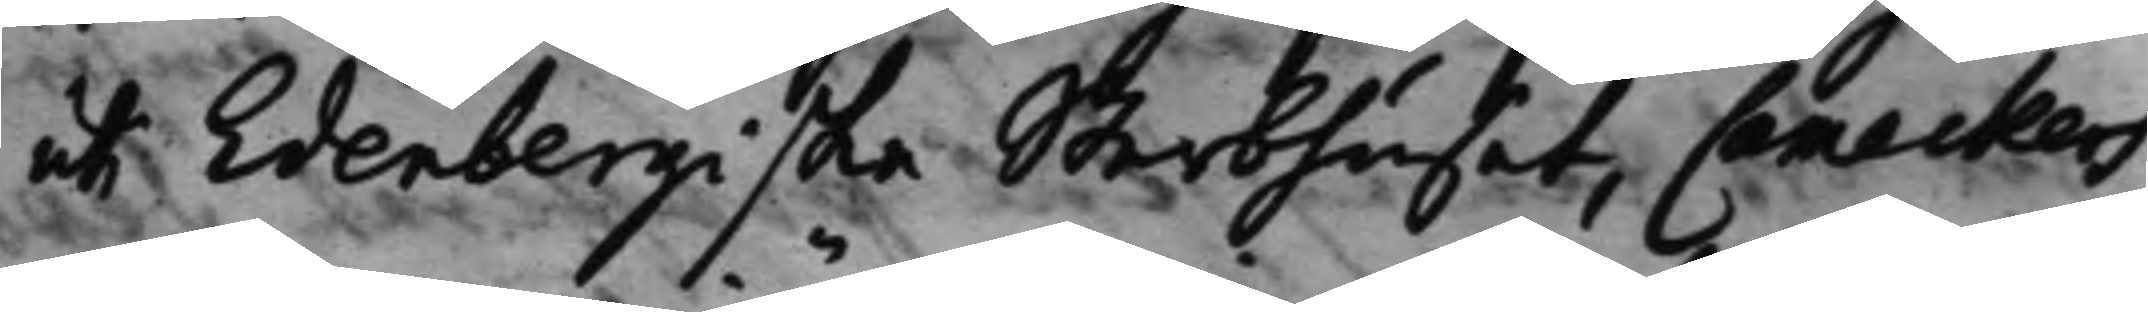uti Edenbergiska Sterbhuset, Cameckers
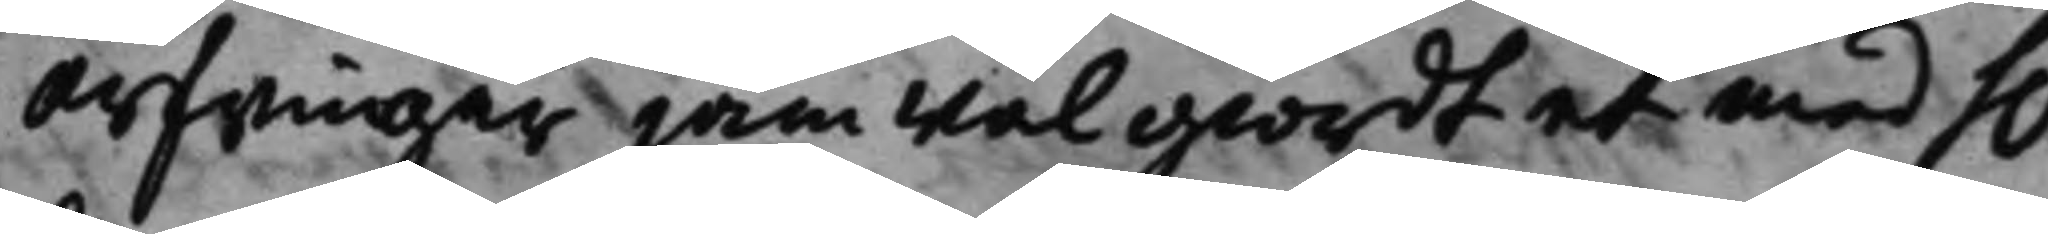arfwingar jämwäl giordt et med h.r 
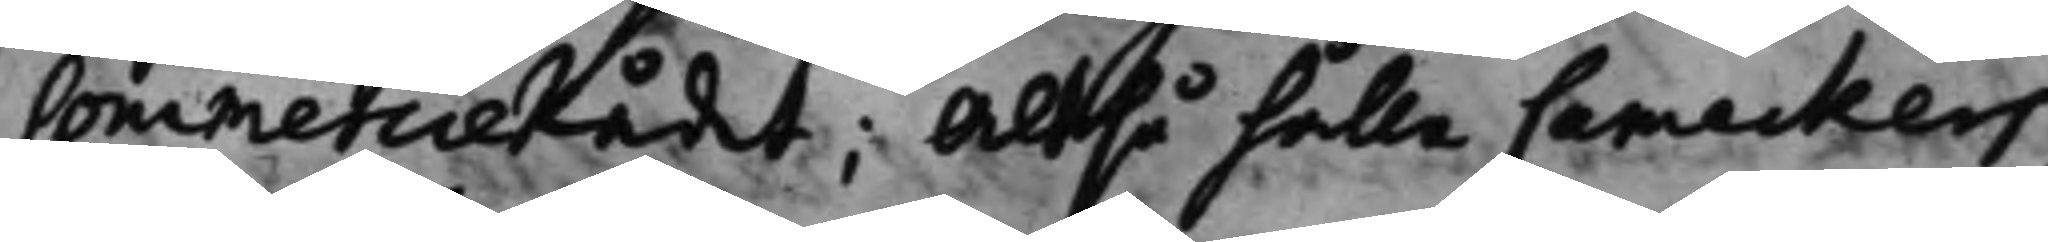CommercieRådet; Altså hålla Cameckers
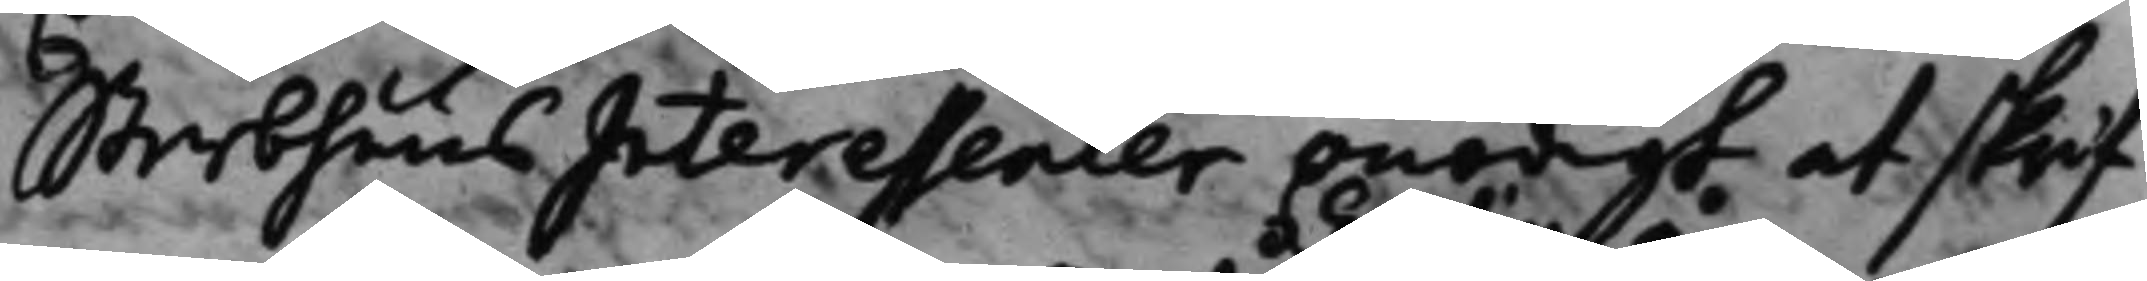Sterbhuus Interessenter onödigt at skrif¬
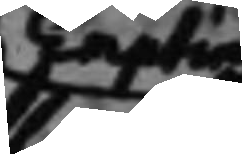Empting å
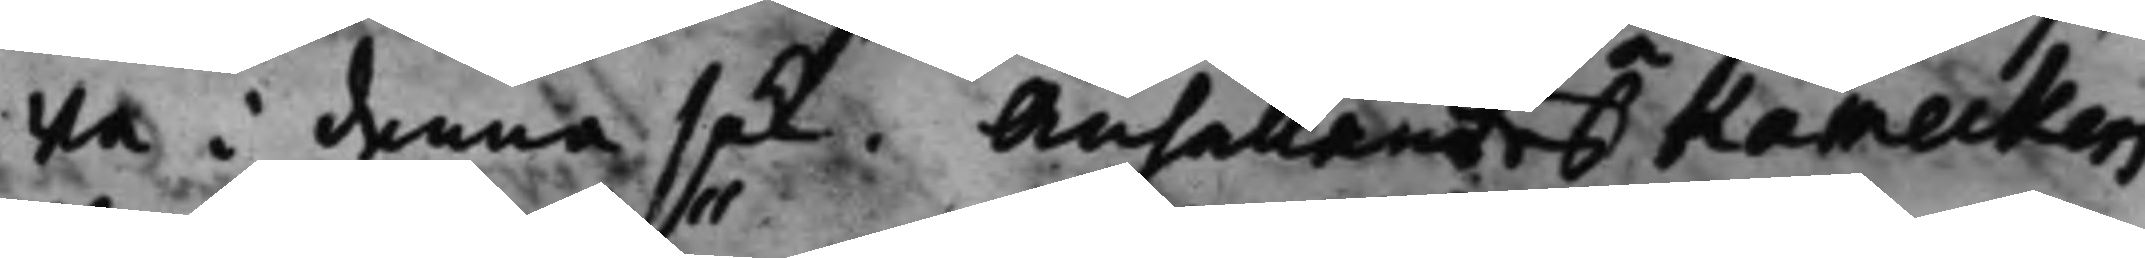wa i denna sak. Anhållandes Kameckers
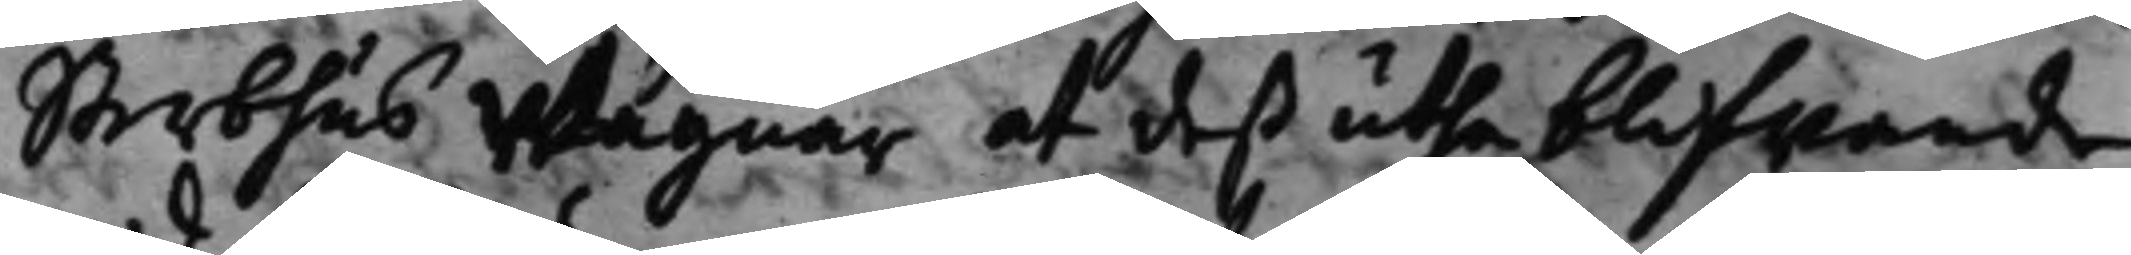Sterbhus Wägnar at deß utheblifwande
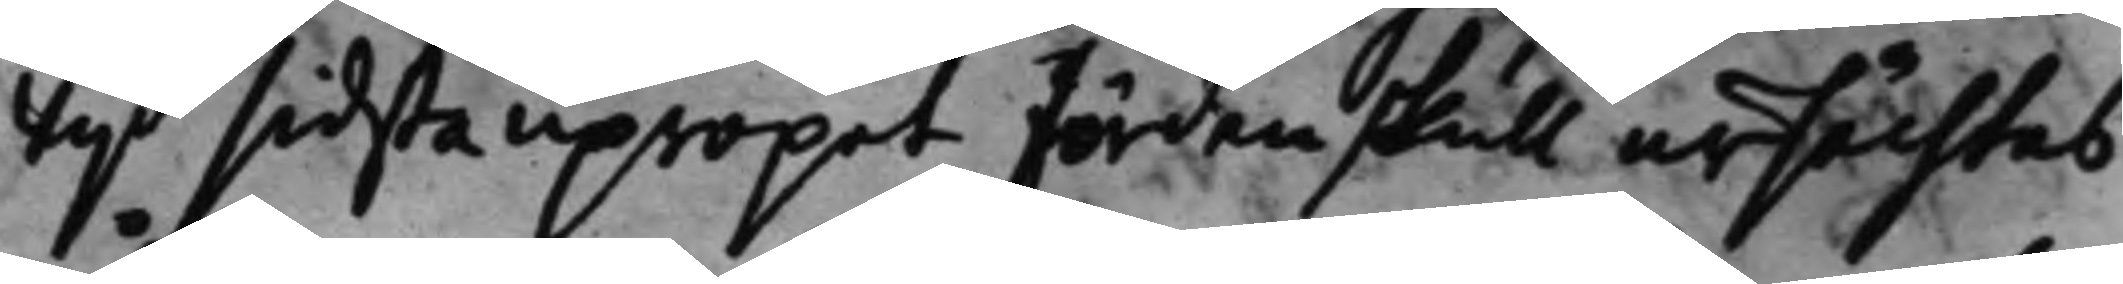wijd sidsta upropet fördenskull ursächtas
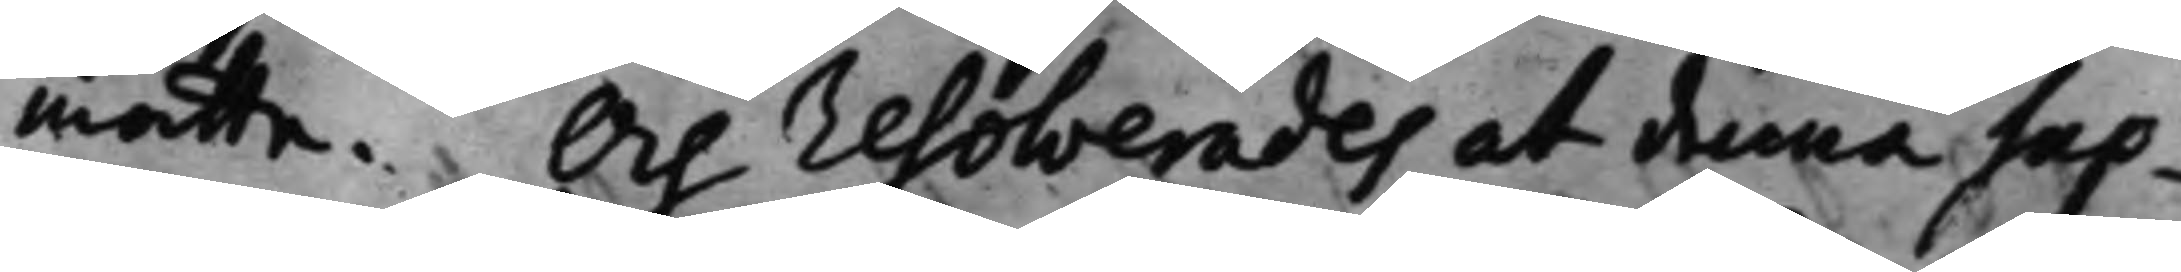måtte. Och resolverades at denna Sup¬
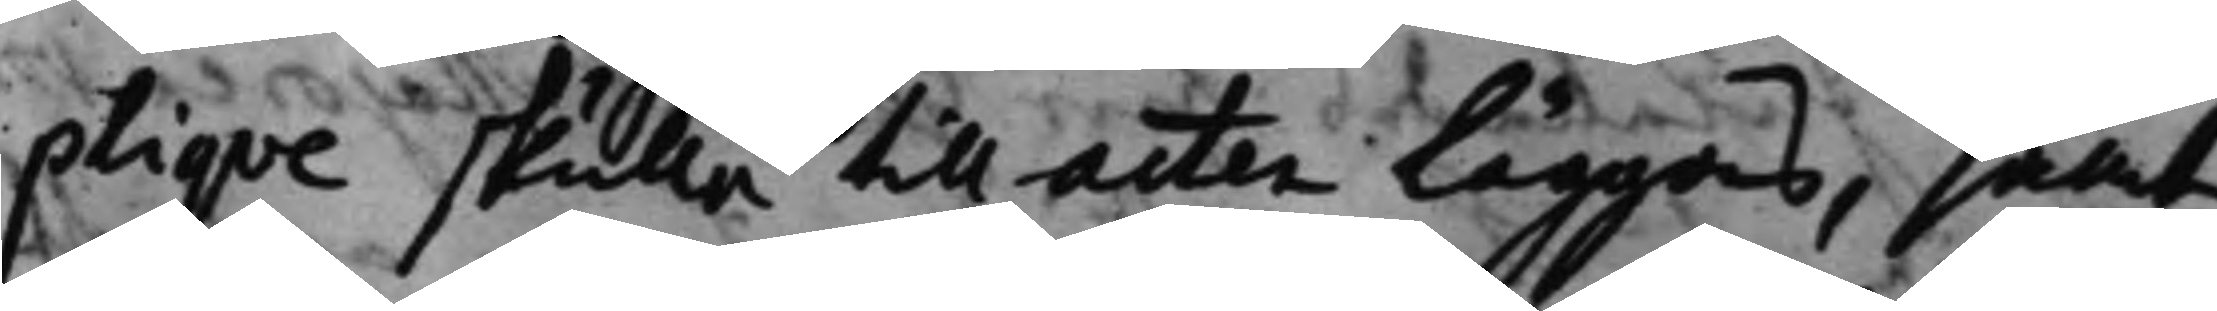plique skulle till acten läggas, samt
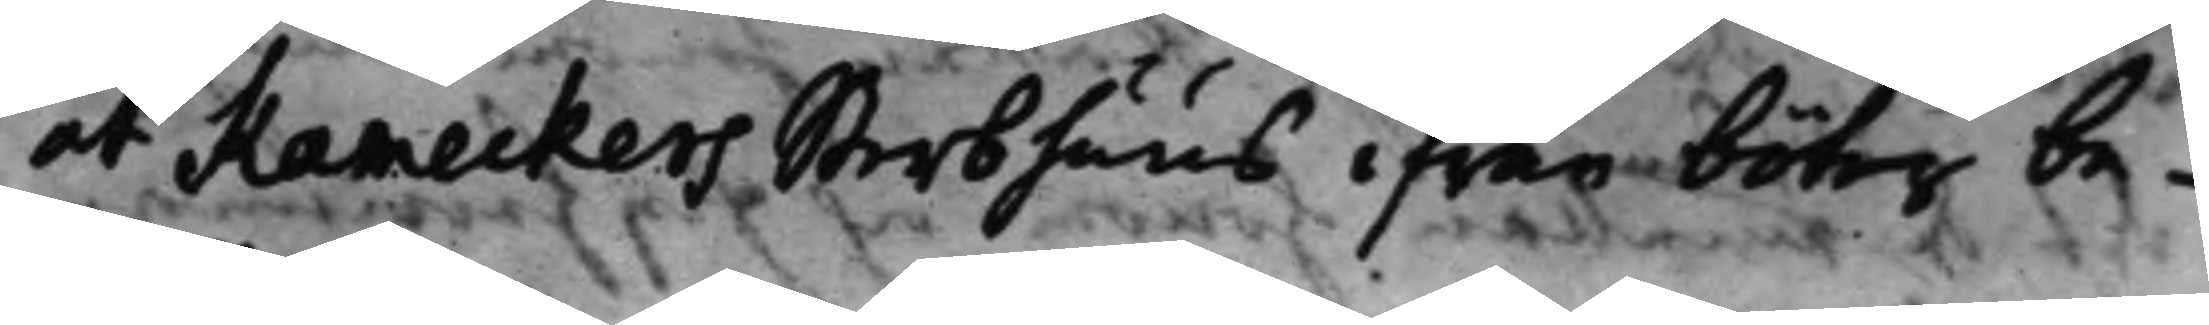at Kameckers Sterbhuus ifrån böter be¬
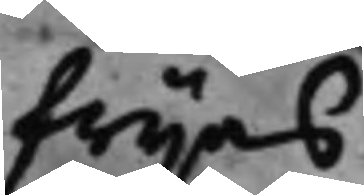frijas.
